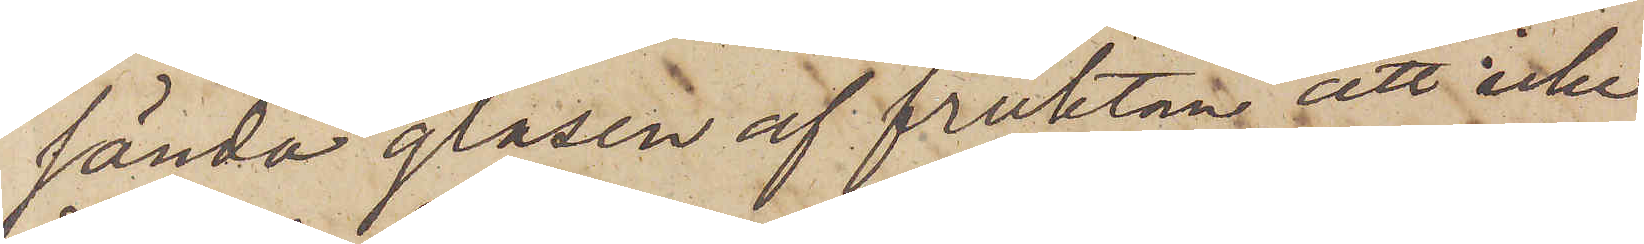sända glasen af fruktan att icke
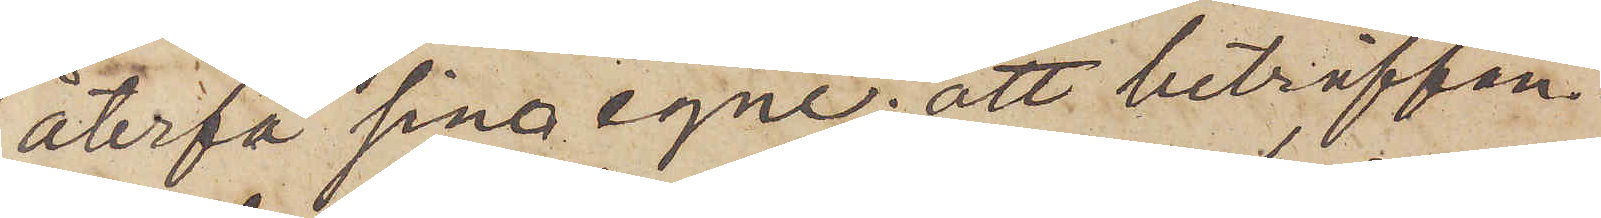återfå sina egne; att beträffan¬
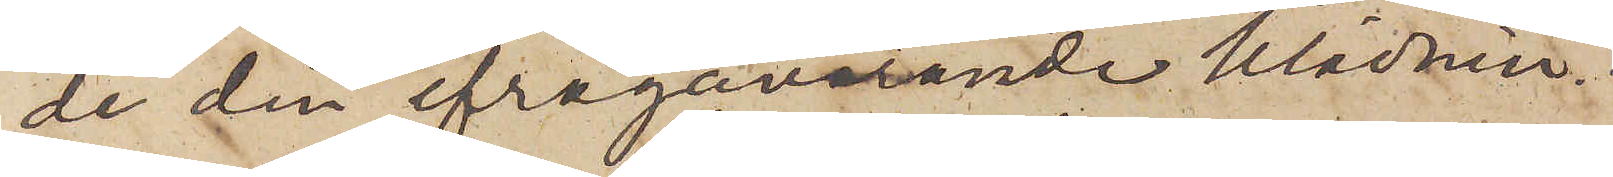de den ifrågavarande klädnin¬
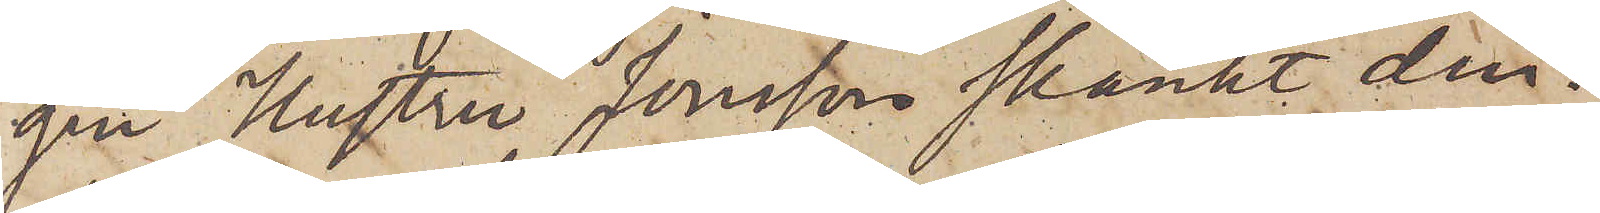gen Hustru Jonsson skänkt den¬
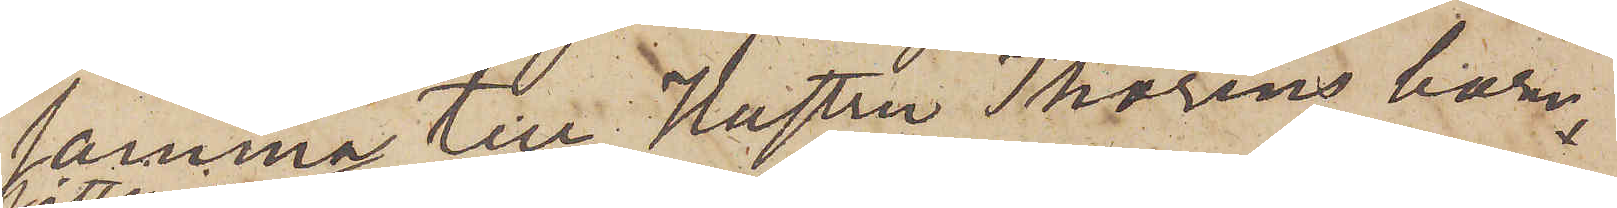samma till Hustru Thoréns barn
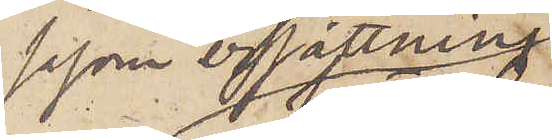såsom ersättning
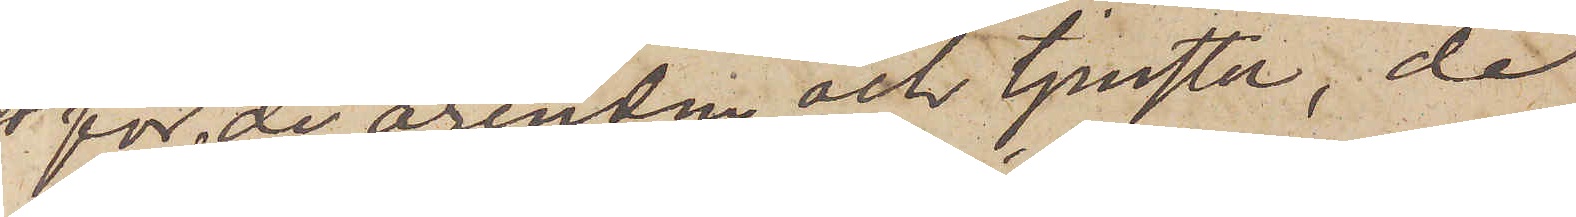för de ärenden och tjenster, de
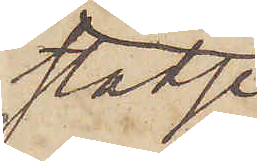städse
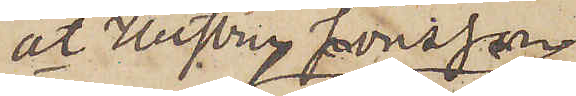åt Hustru Jonsson
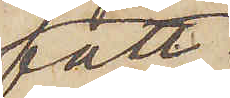fått
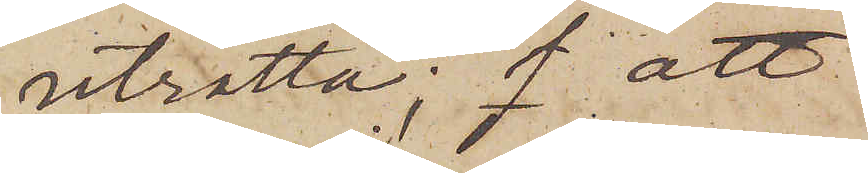uträtta; att
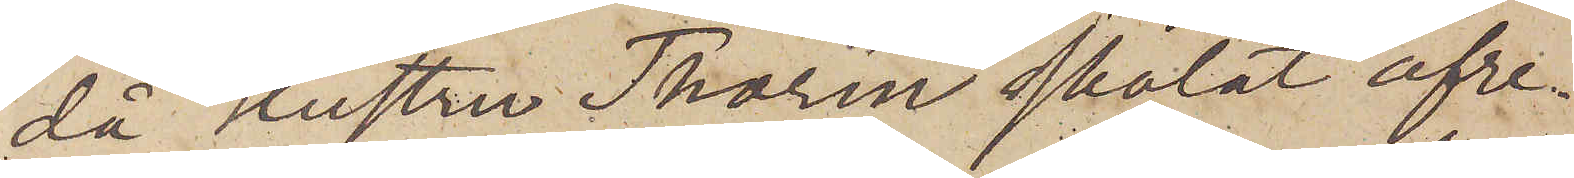då Hustru Thorén skolat afre¬
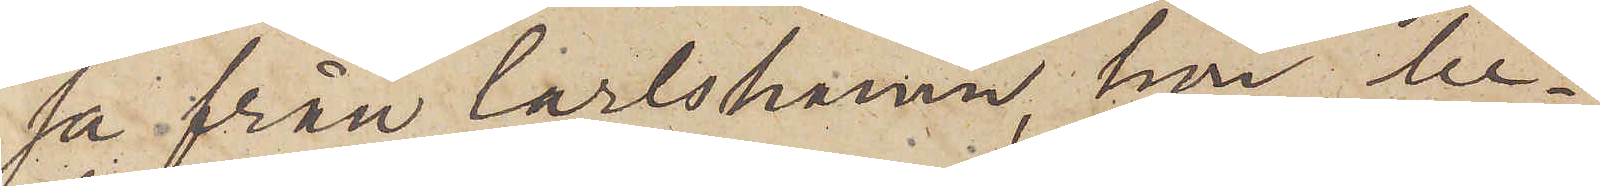sa från Carlshamn, hon be¬
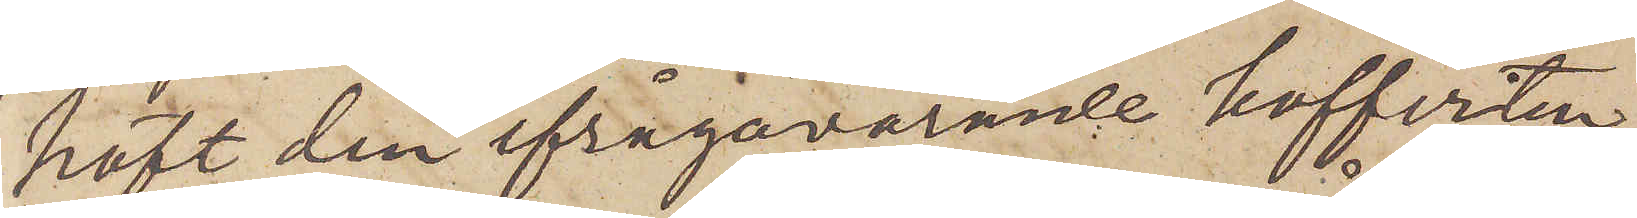höft den ifrågavarande kofferten,
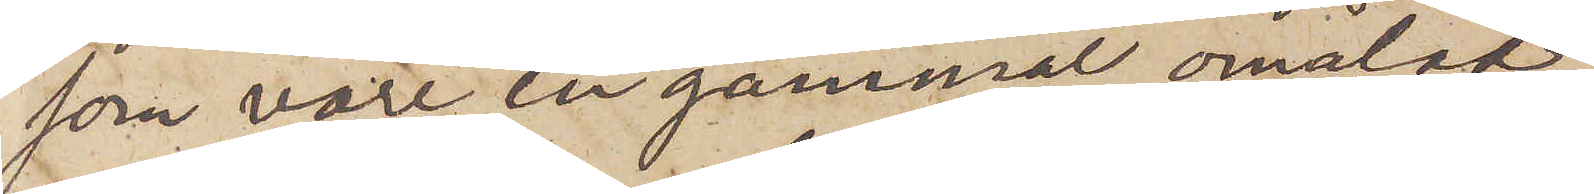som vore en gammal omålad
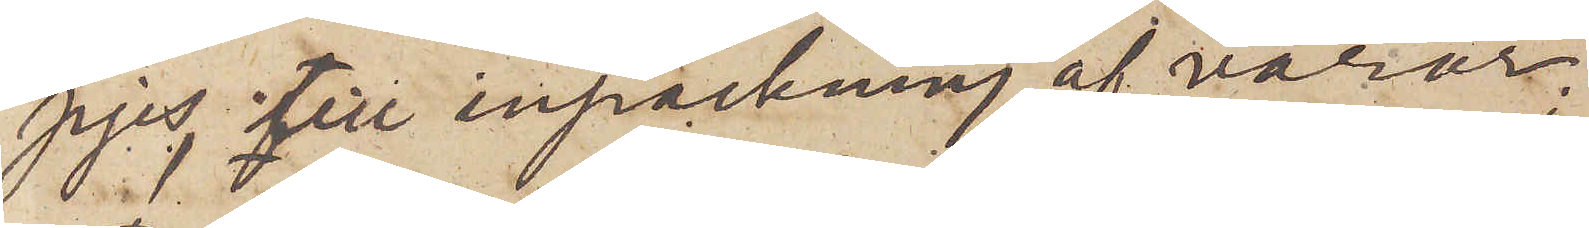pjes, till inpackning af varor;
